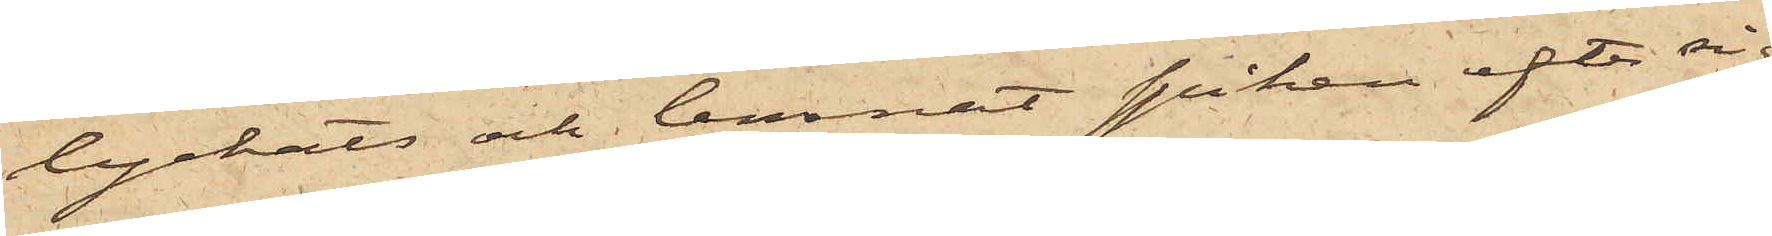lyckats och lemnat spiken efter sig;
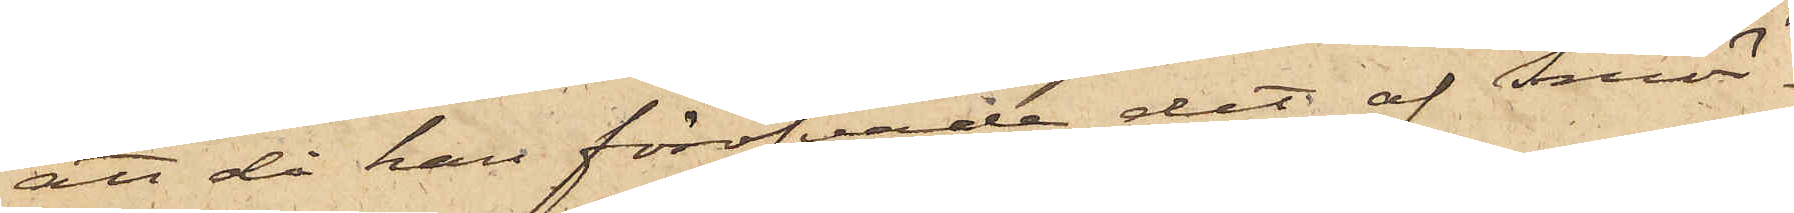att då han föröfvade det af Smör¬
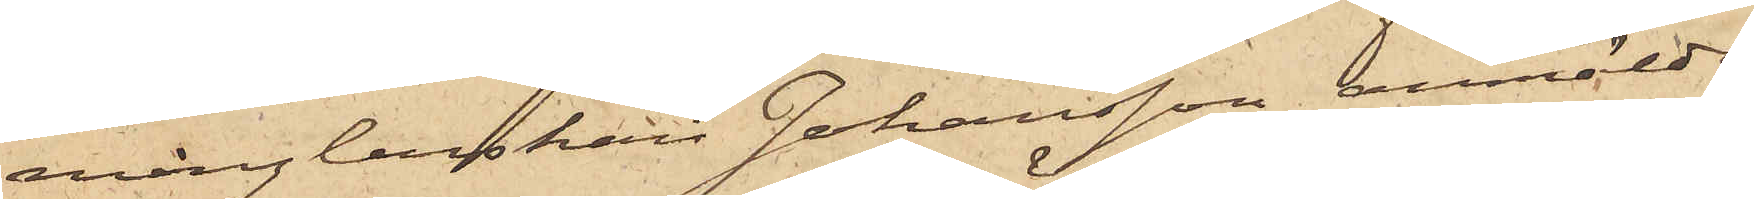månglerskan Johansson anmälde
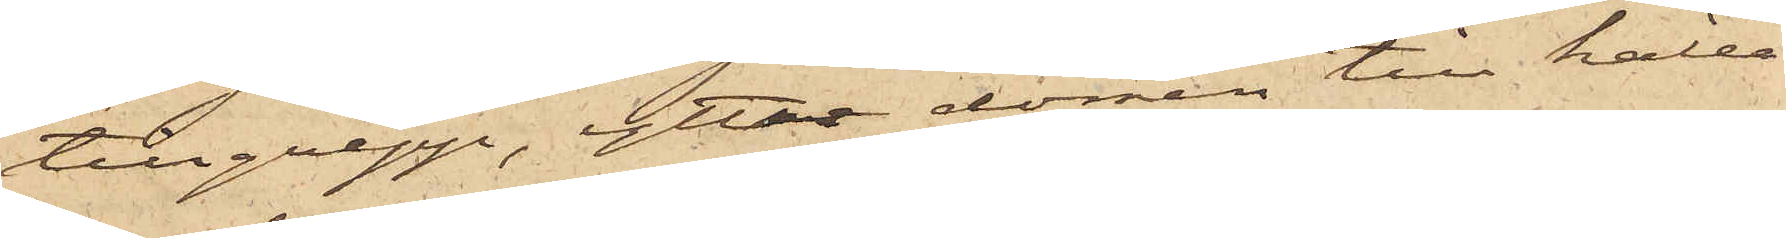tillgrepp, yttre dörren till källa¬
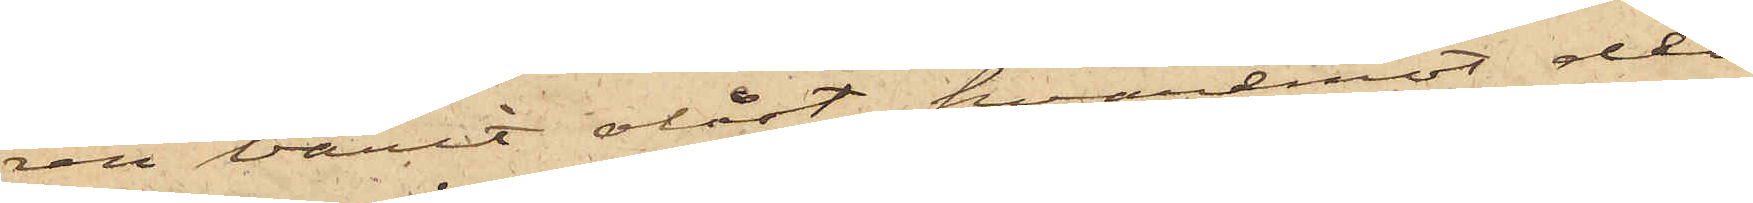ren varit olåst, hvaremot den
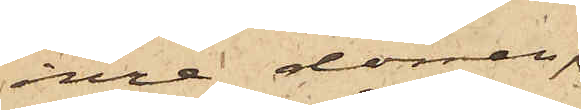inre dörren,
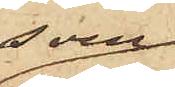som
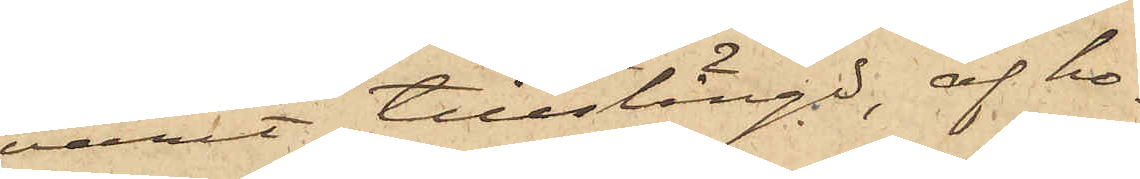varit tillstängd, af ho¬
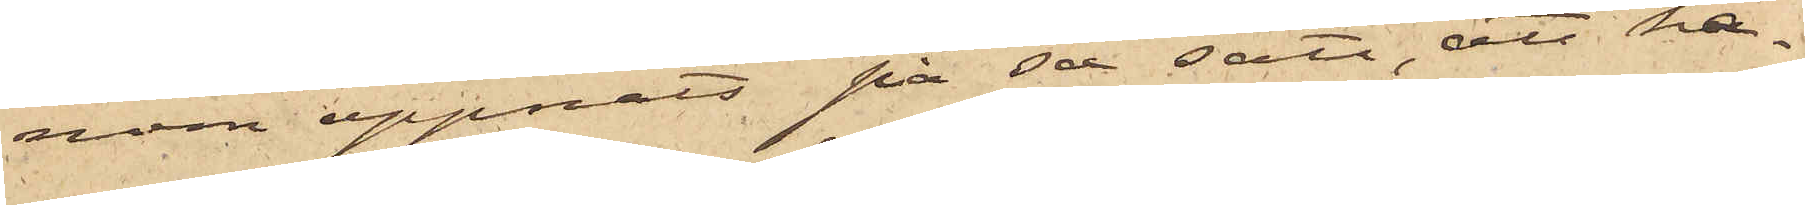nom öppnats på så sätt, att ha¬
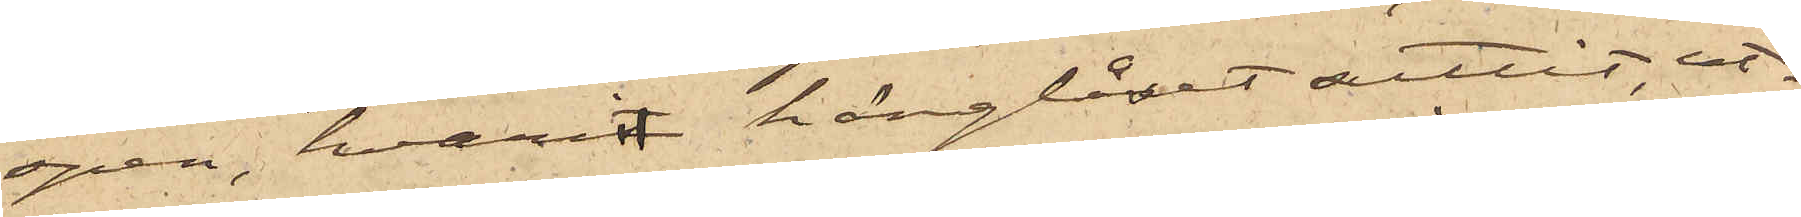spen, hvari hänglåset suttit, ut¬
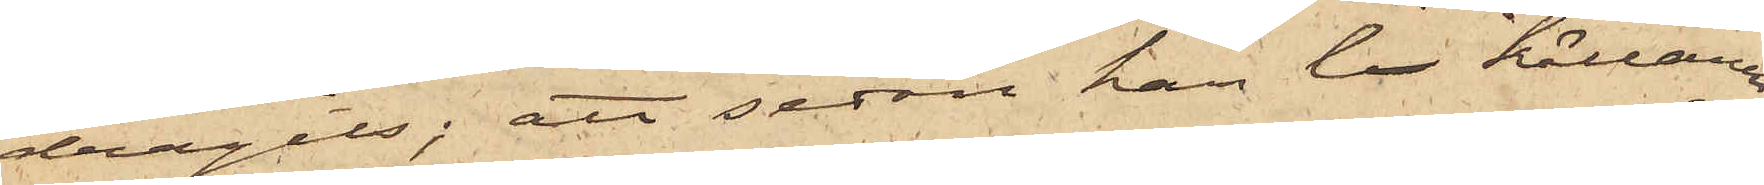dragits; att sedan han i källaren
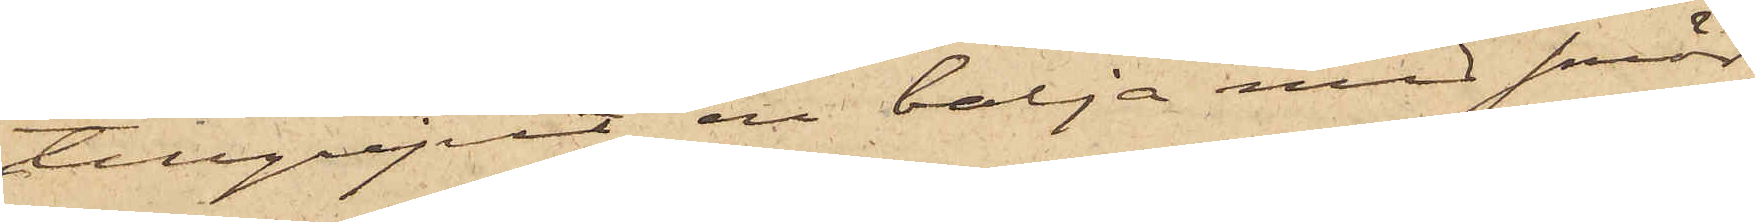tillgripit en balja med smör,
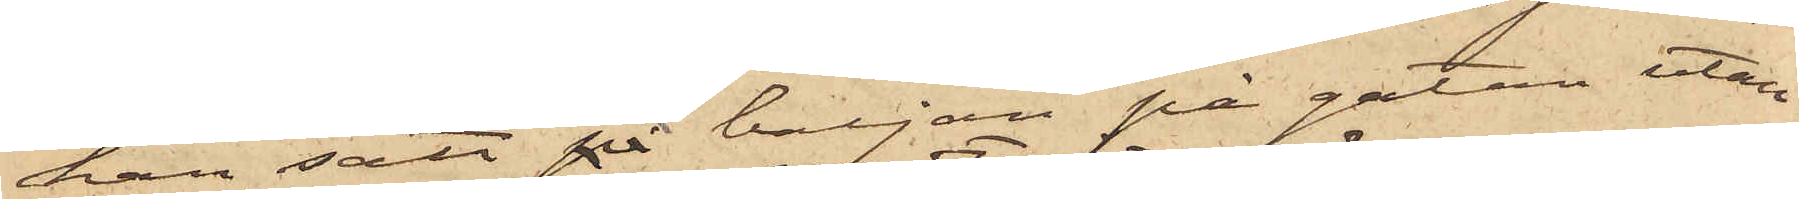han satt på baljan på gatan utan¬
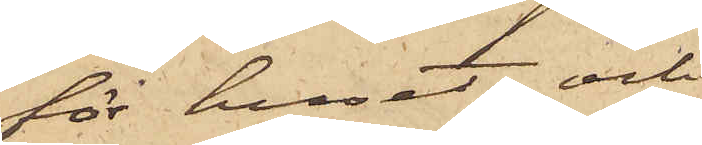för huset och
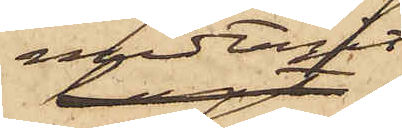medtagit
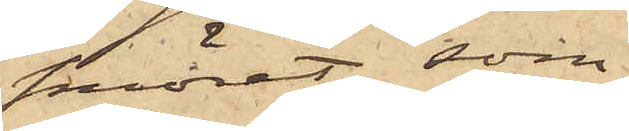smöret, som
